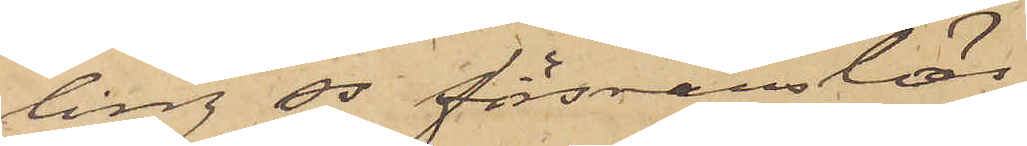ling ss försvarslös.
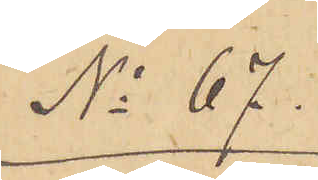No 67.
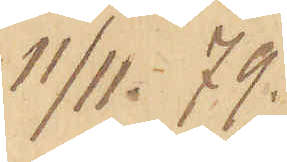11/11 79.
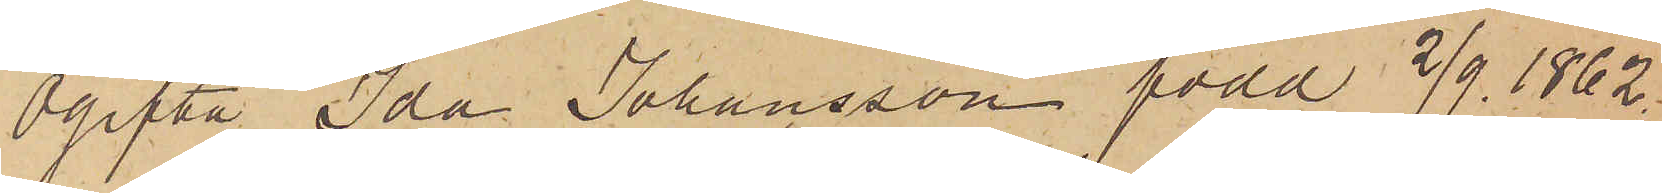Ogifta Ida Johansson född 2/9. 1862
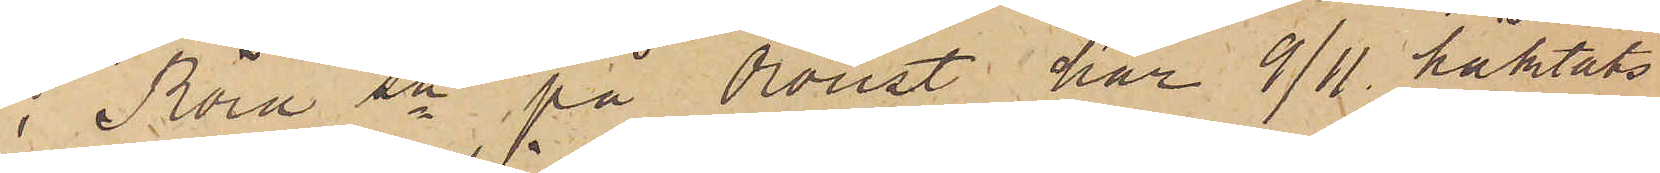i Röra sn på Oroust har 9/11 häktats
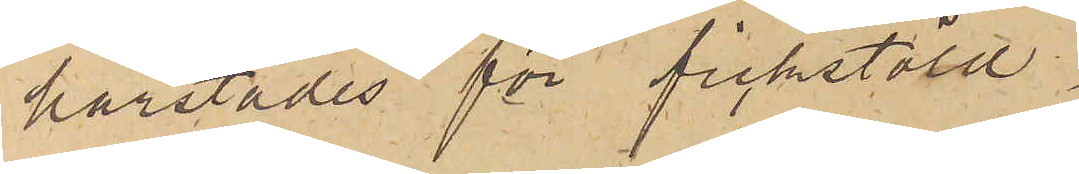härstädes för fickstöld.
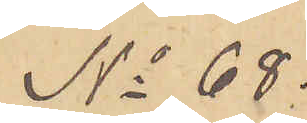No 68.
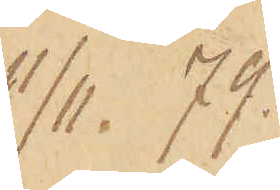11/11. 79.
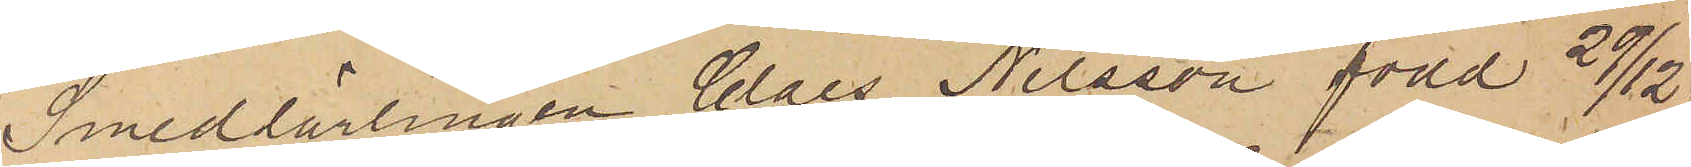Smedlärlingen Claes Nilsson, född 29/12
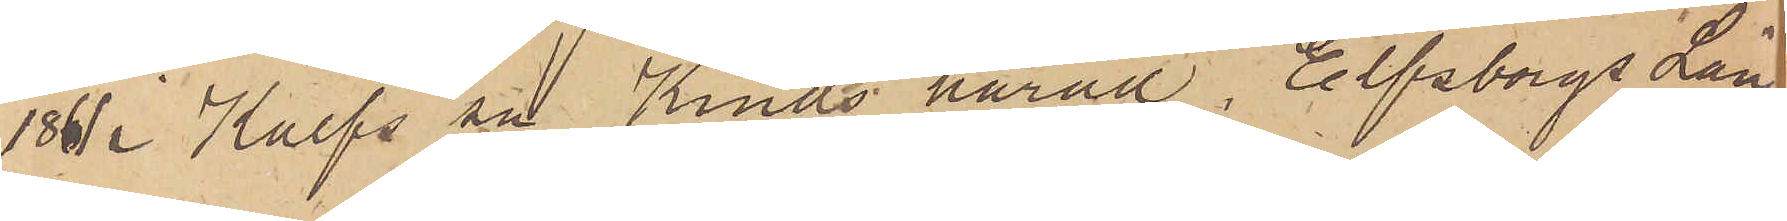1861 i Kalfs sn Kinds härad, Elfsborgs Län
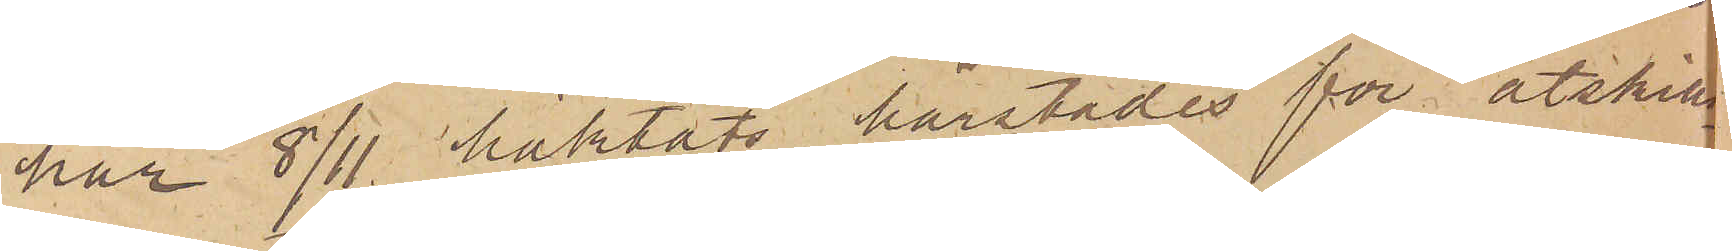har 8/11 häktats härstädes för åtskilli¬
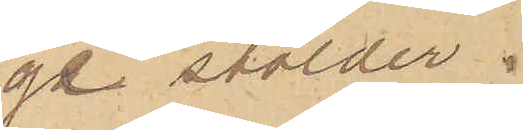ga stölder.
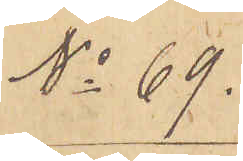No 69.
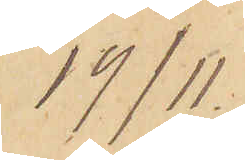19/11.
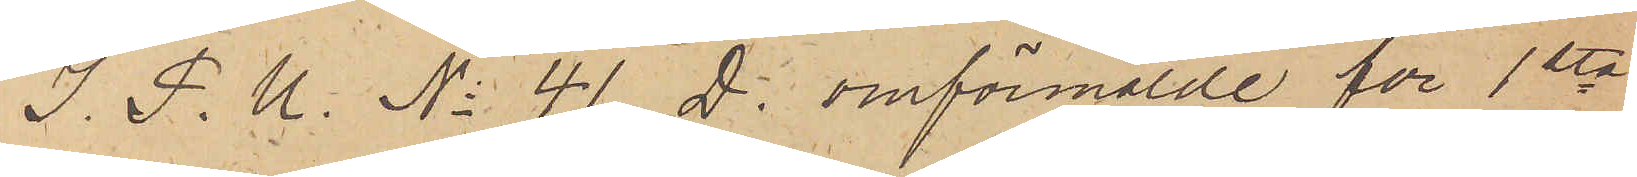I. P. U. No 41 D. omförmälde för 1sta
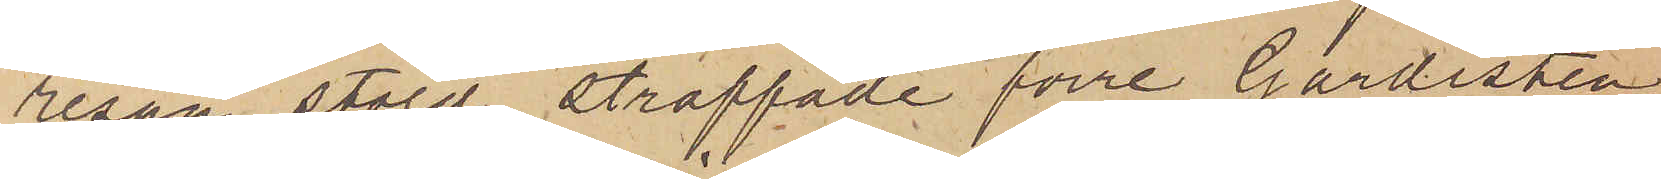resan stöld straffade förre Gardisten
